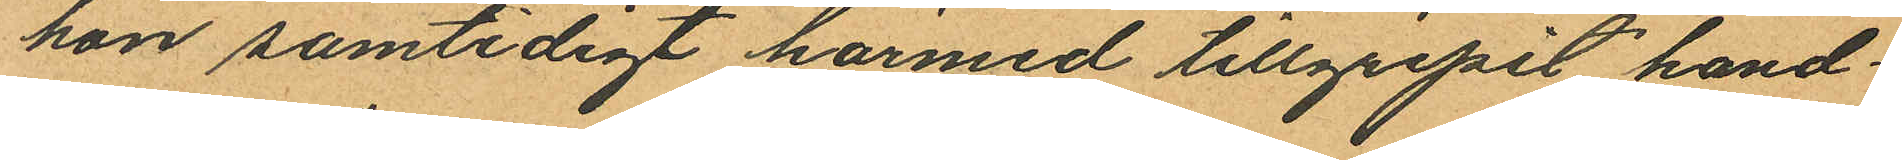hon samtidigt härmed tillgripit hand¬
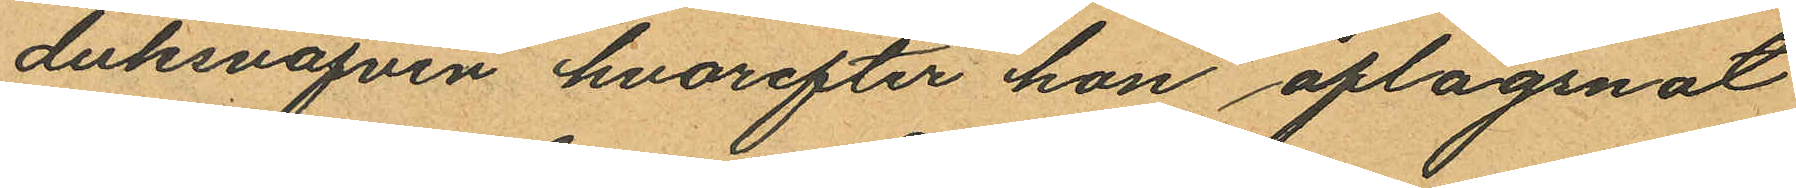duksväfven hvarefter hon aflägsnat
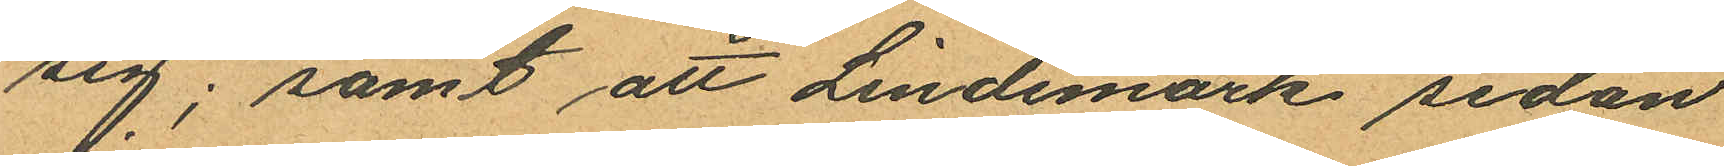sig; samt att Lindemark sedan
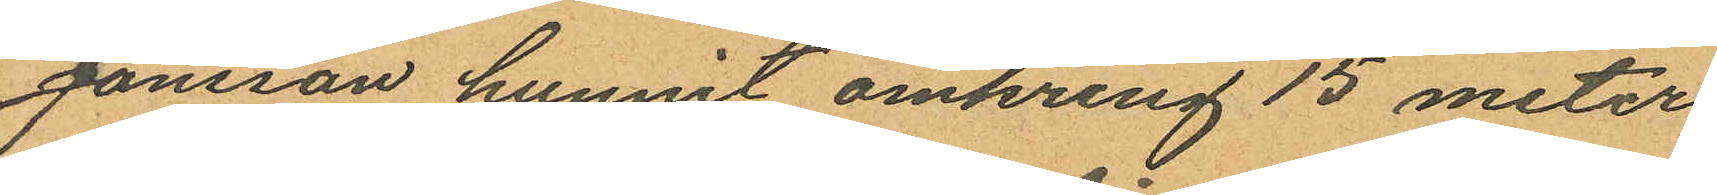Jonsson hunnit omkring 15 meter
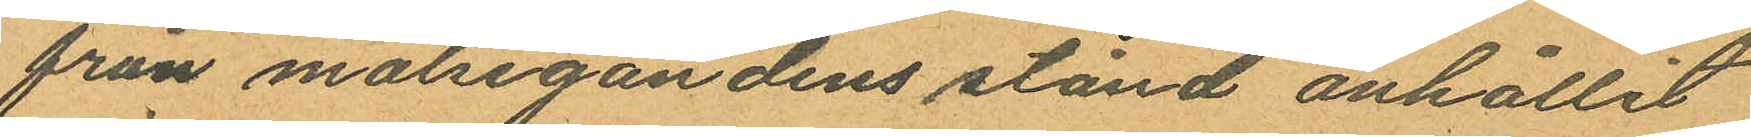från målsegandens stånd anhållit
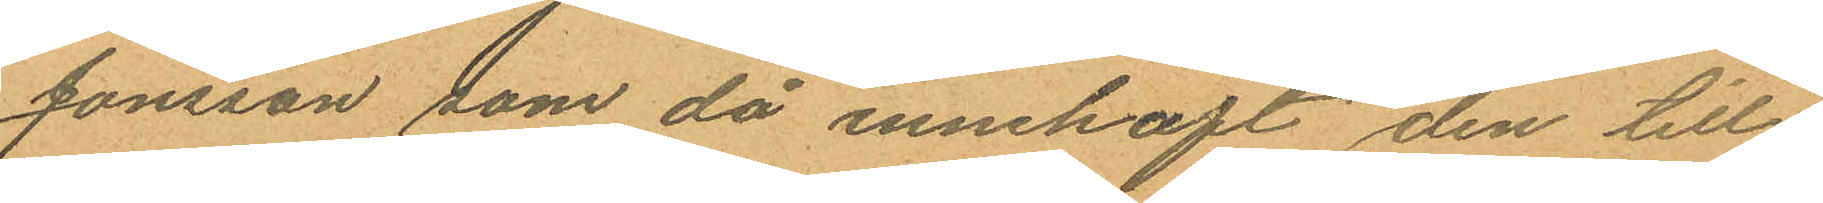Jonsson som då innehaft den till¬
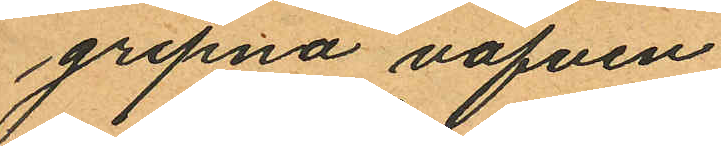gripna väfven.
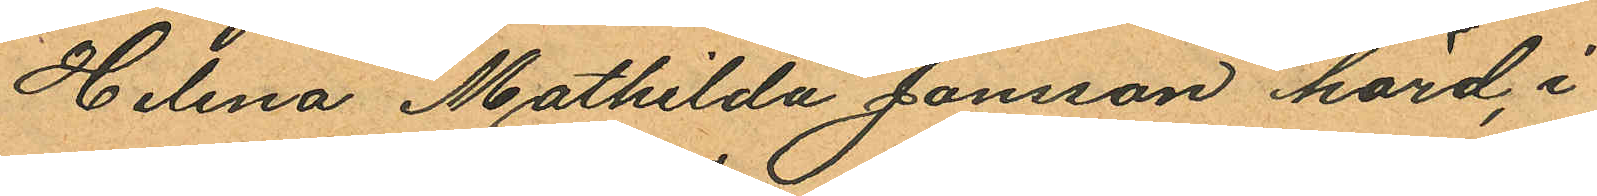Helena Mathilda Jonsson hörd, i
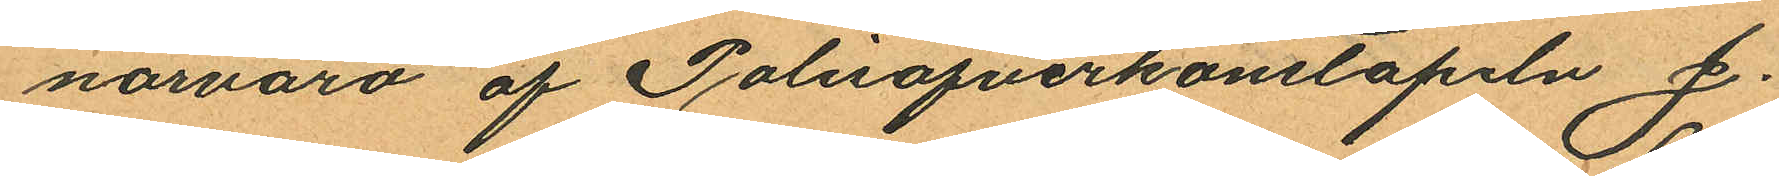närvaro af Polisöfverkonstapeln J.
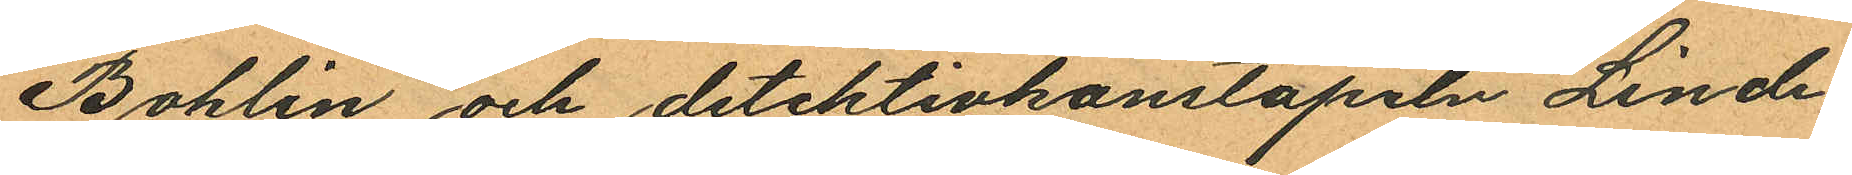Bohlin och detektivkonstapeln Linde¬
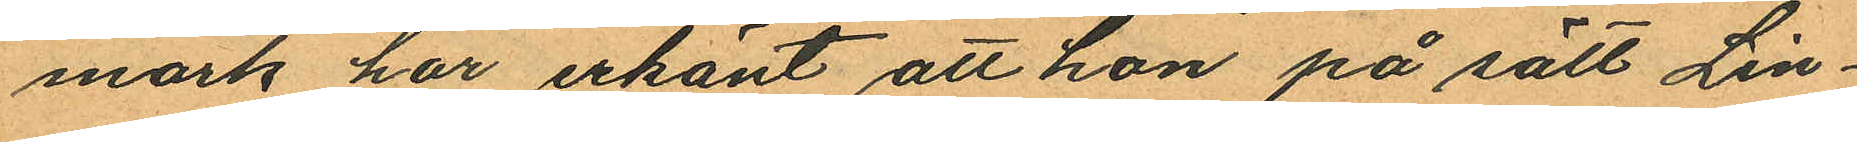mark har erkänt att hon på sätt Lin¬
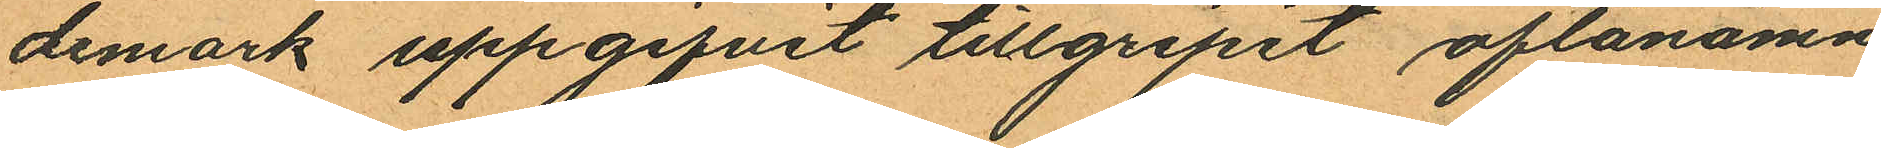demark uppgifvit tillgripit oftanämn¬
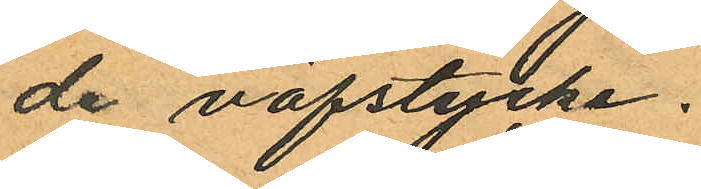de väfstycke.
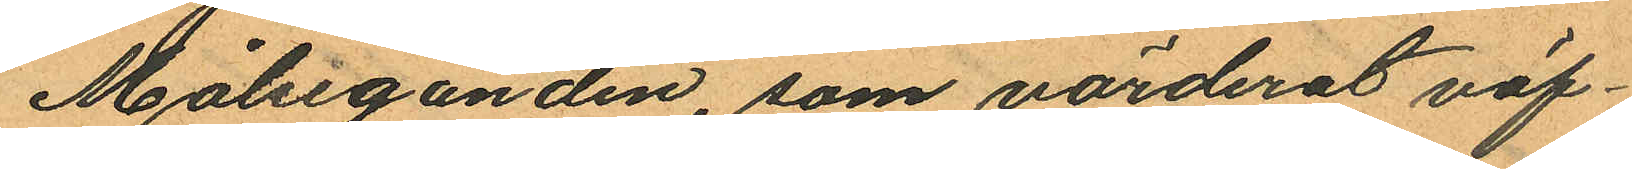Målseganden, som värderat väf¬
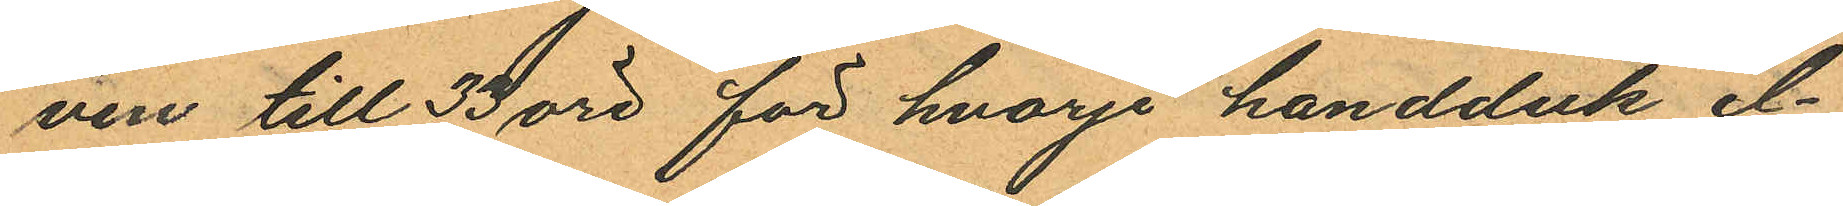ven till 33 öre för hvarje handduk el¬
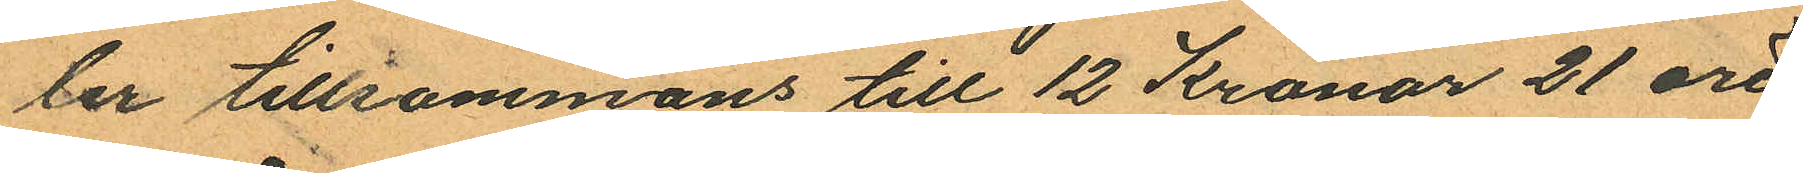ler tillsammans till 12 Kronor 21 öre
